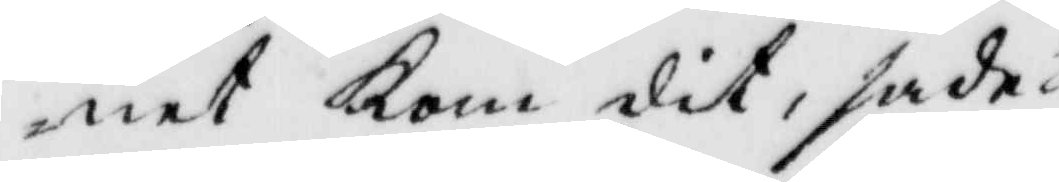net Kom dit, sade
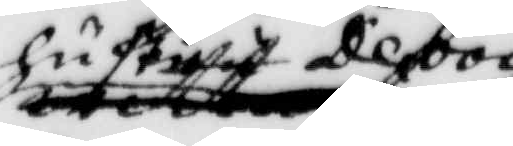hustru Deboi
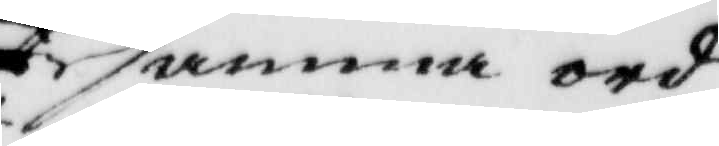samma ord
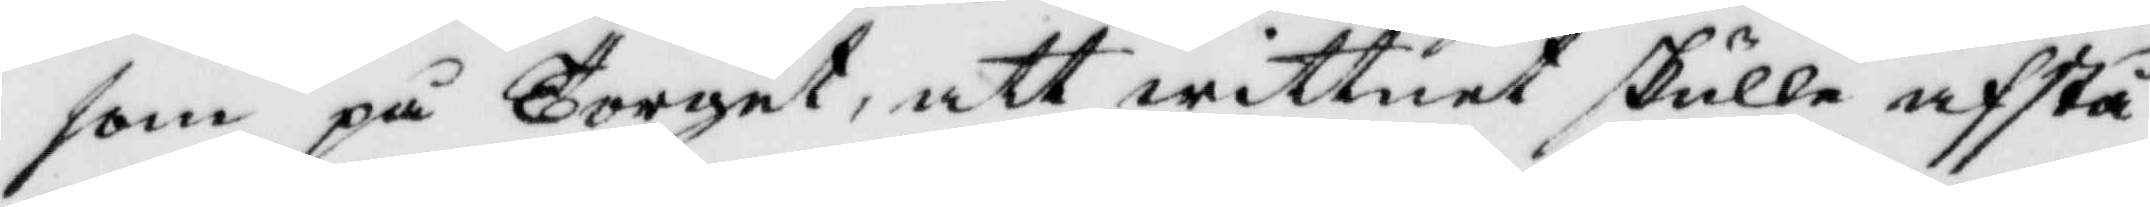som på Torget, att wittnet skulle afstå
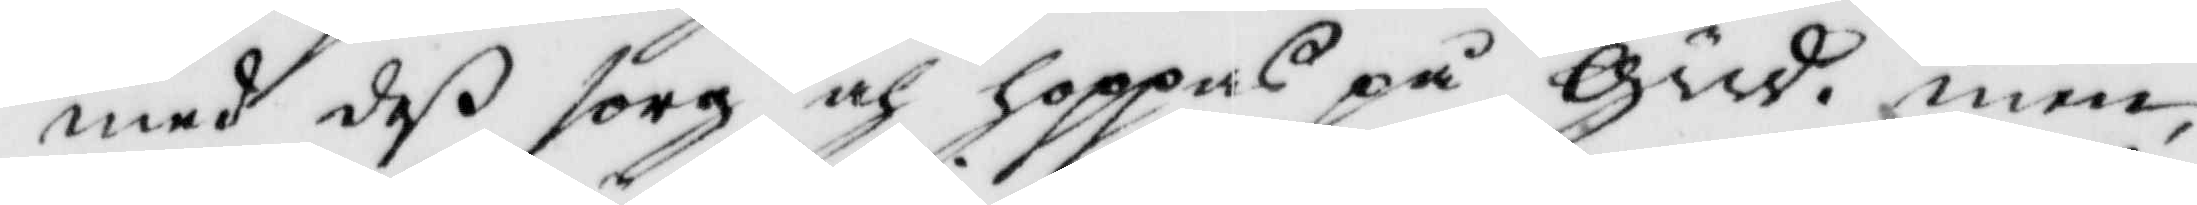med deß sorg och hoppas på Gud. men
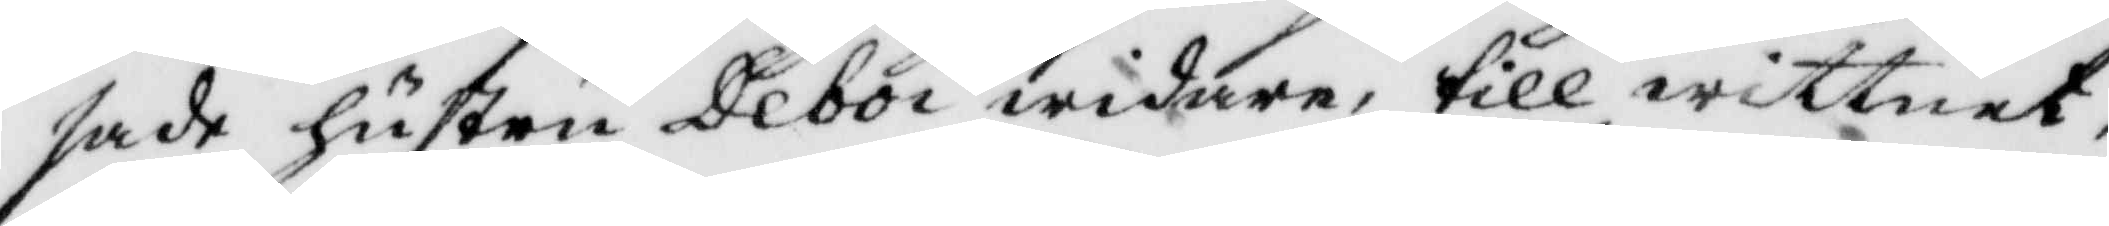sade hsutru Deboi widare, till wittnet
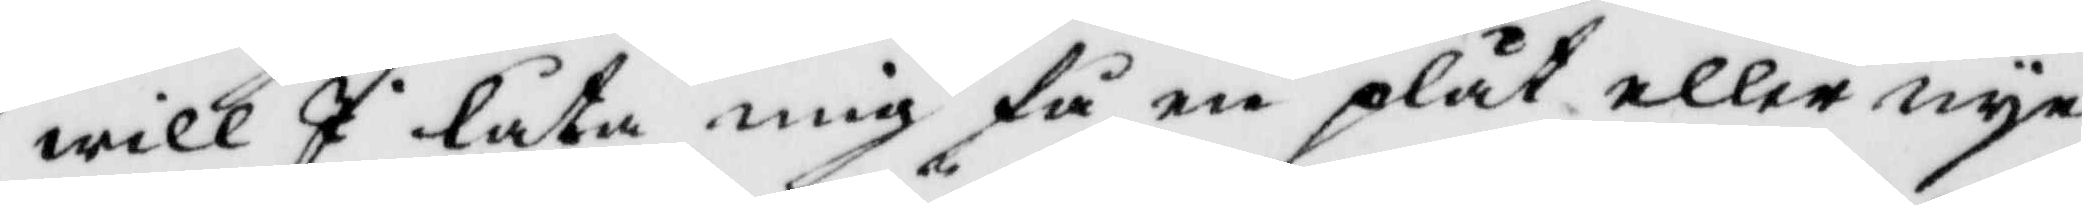will I låta mig få en plåt eller nye
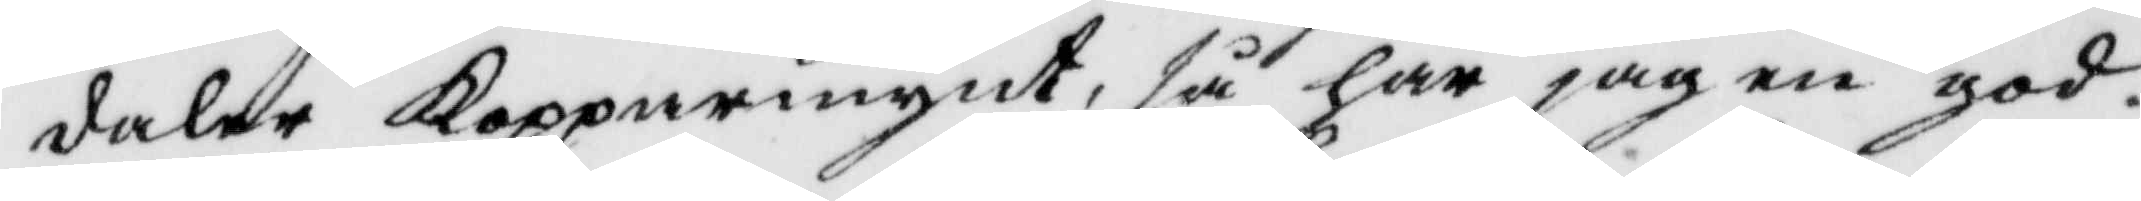daler Kopparmynt, så har jag en god
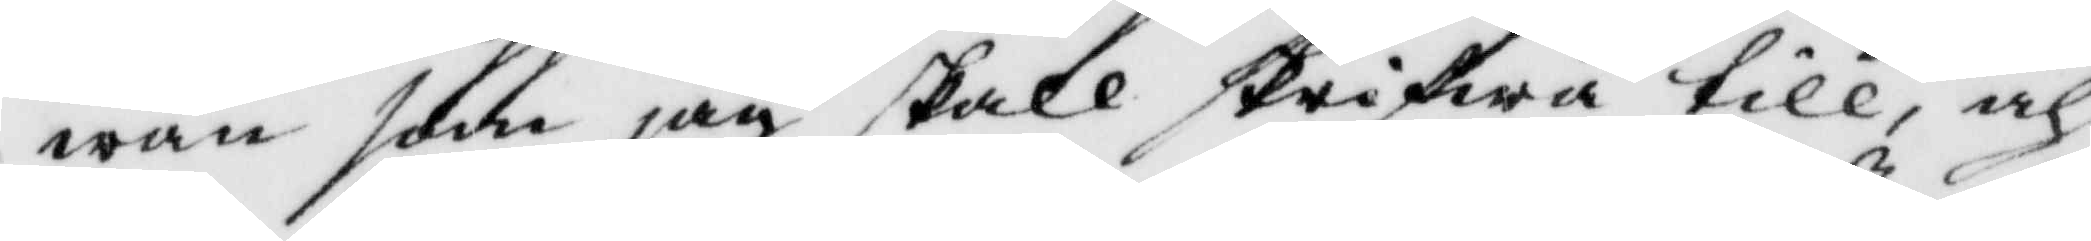wän som jag skall skrifwa till, och
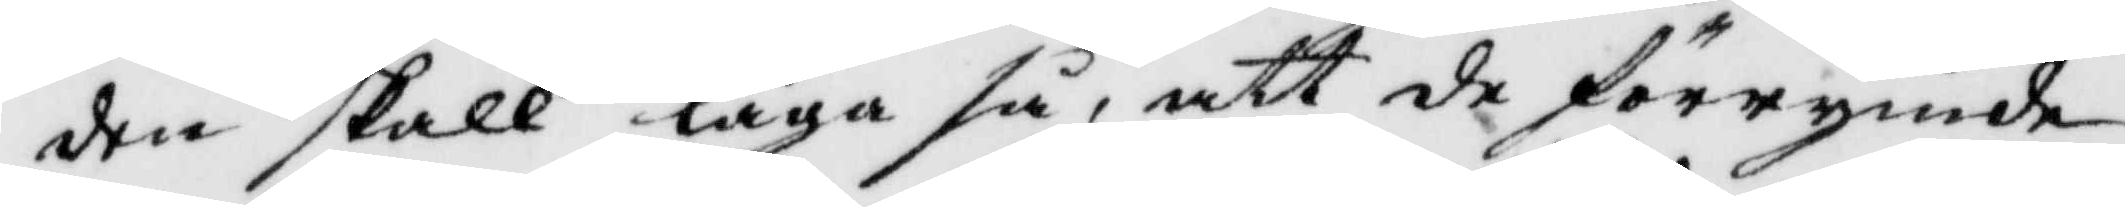den skall laga så, att de förrymde
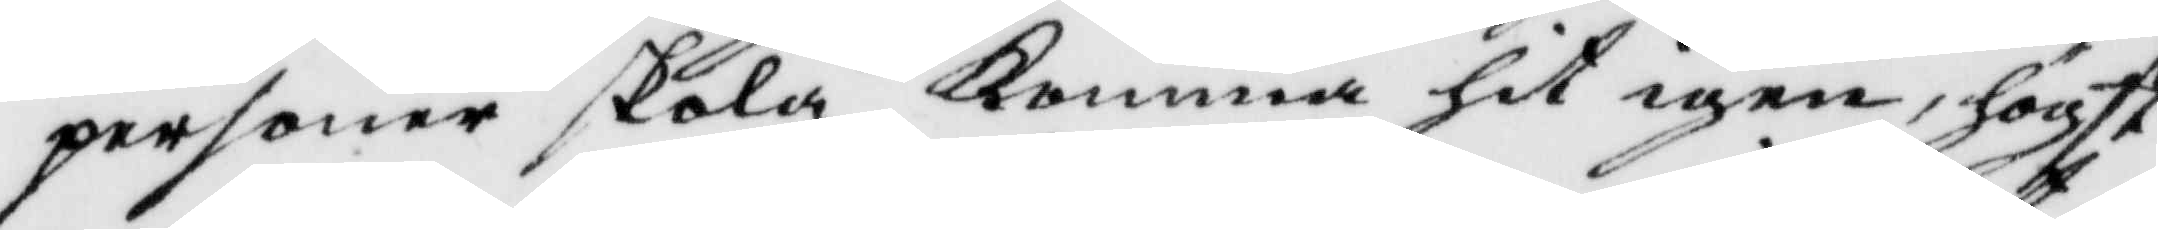personer skola komma hit igen, högst
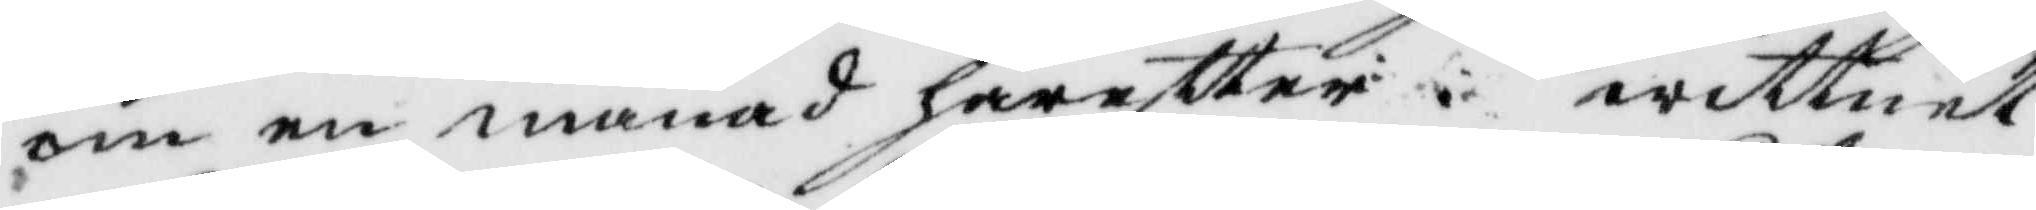om en månad häreftter. wittnet
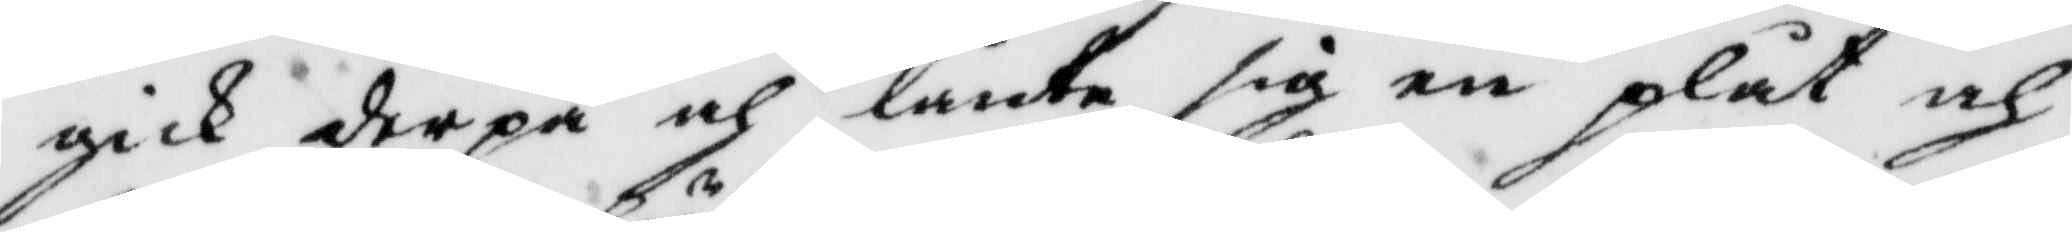gick derpå och lånte en plåt och
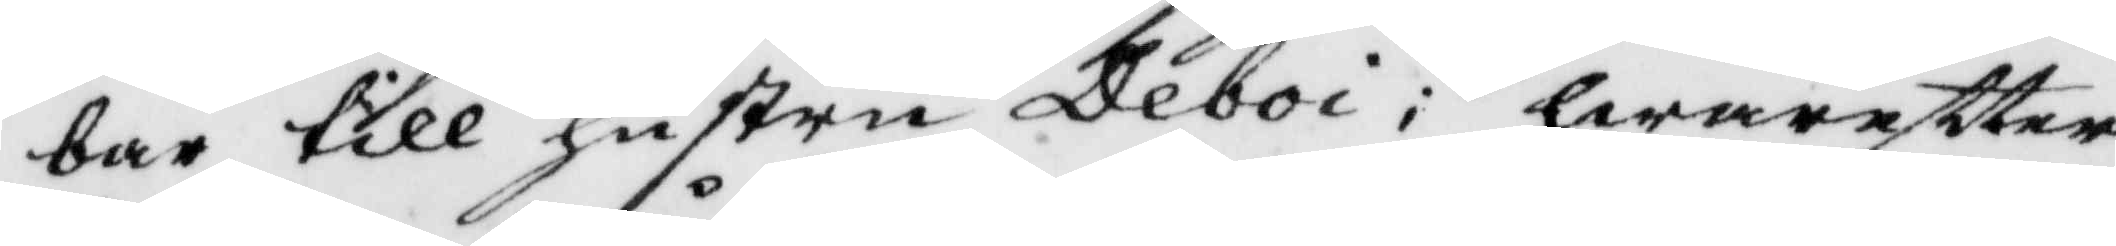bar till hustru Deboi; hwareftter
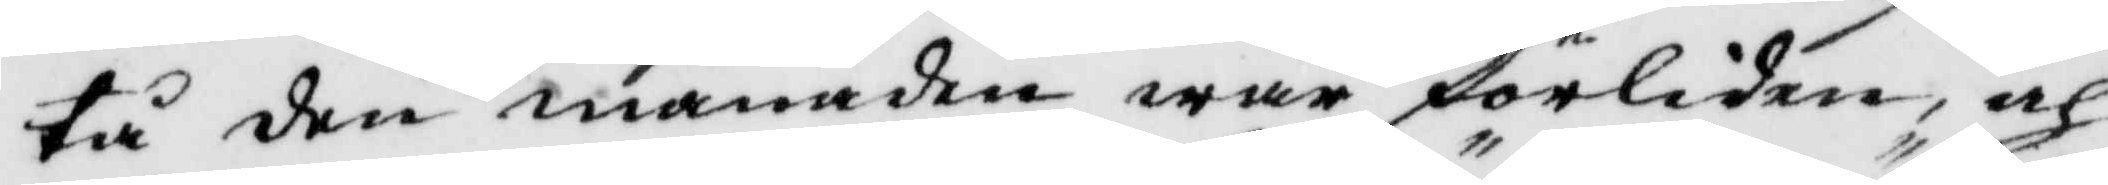tå den månaden war förliden, och
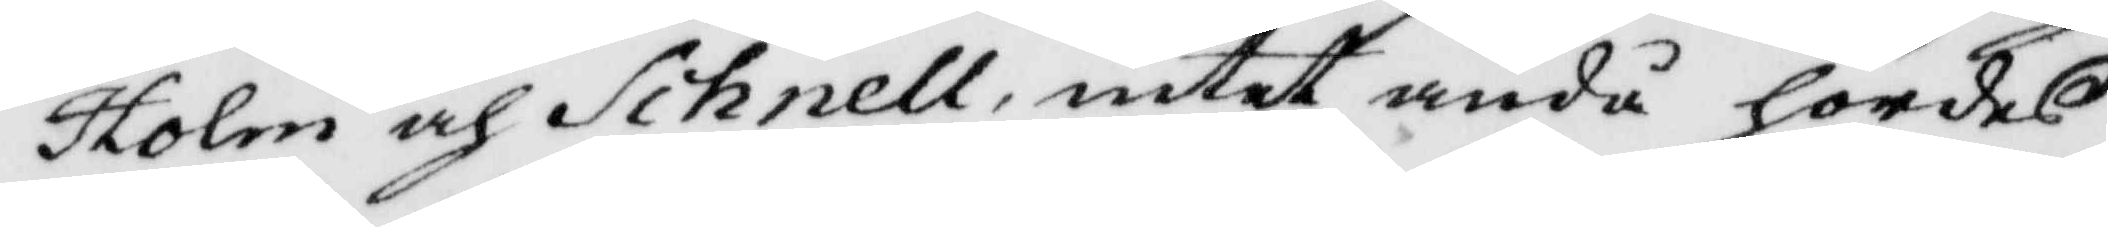Holm och Schnell intet ändå hördes
